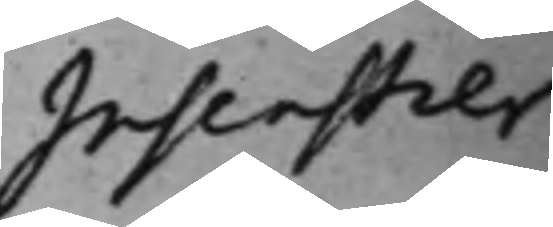Insenstier¬
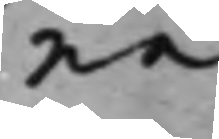na
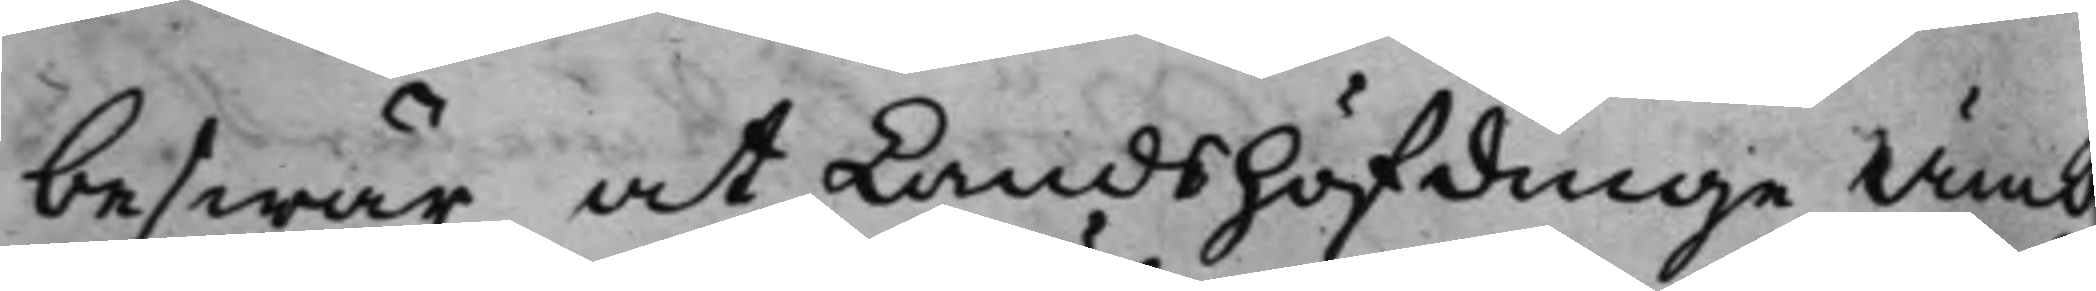beswär at Landshöfdinge Ämb
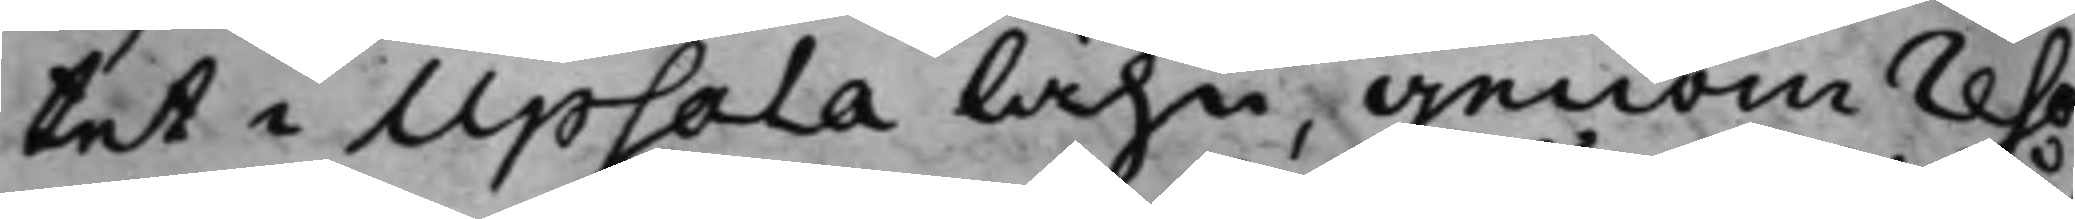tet i Upsala lähn, genom reso¬
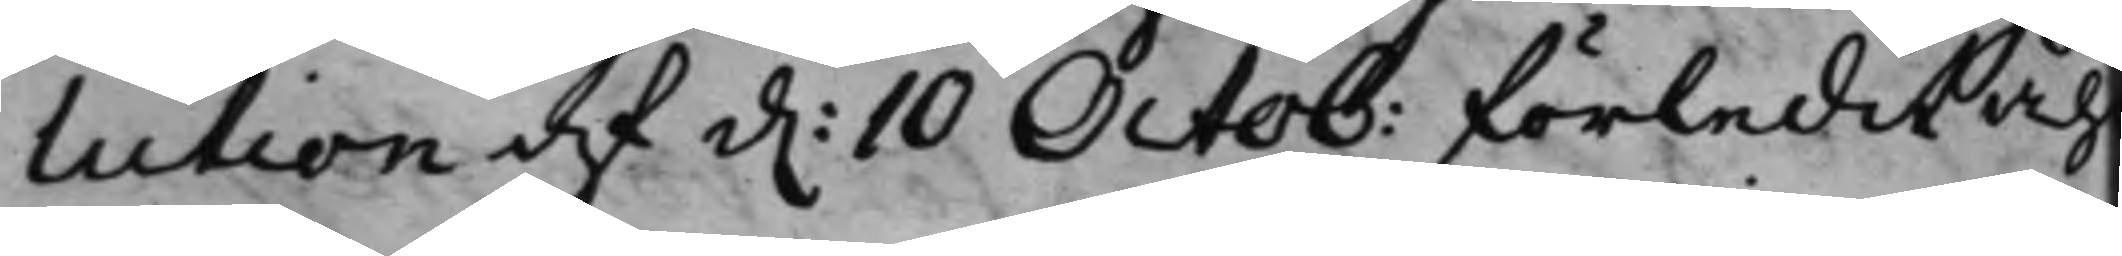lution af d. 10 Octob: förledit Åh
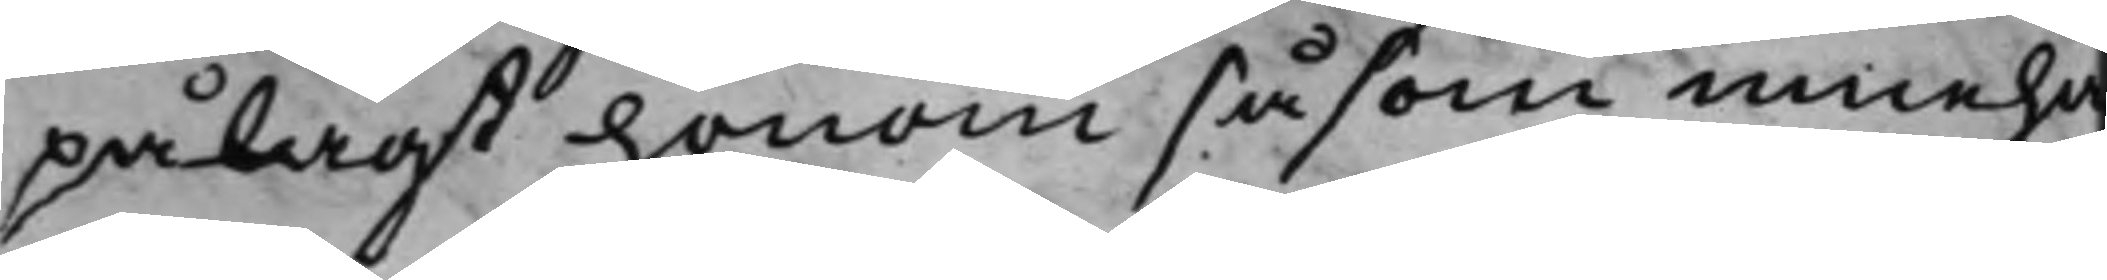pålagt honom såsom inneha
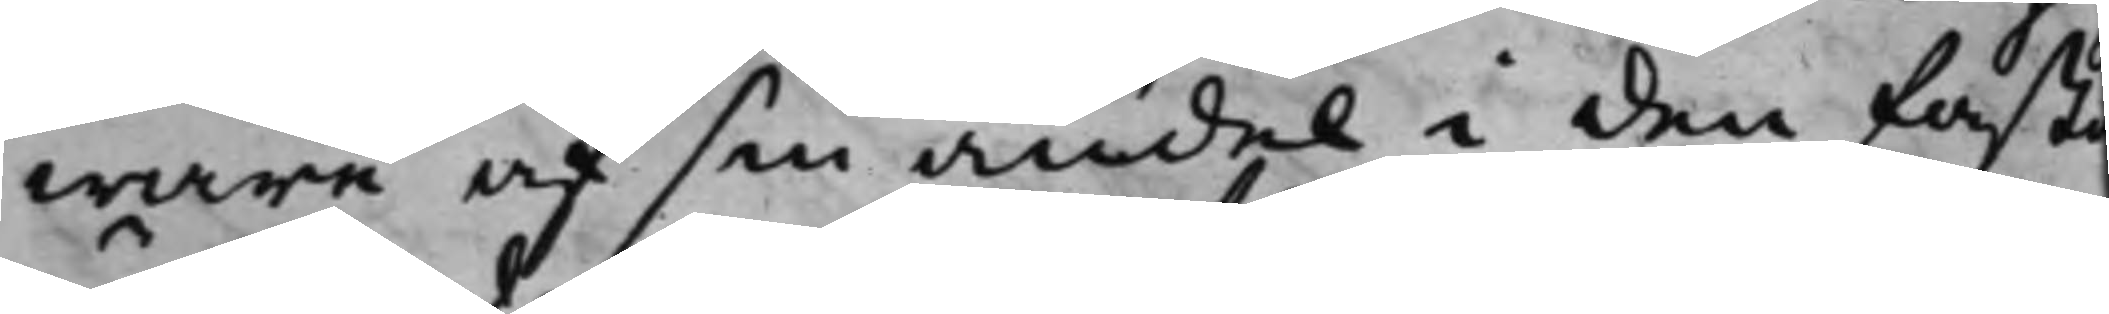ware af sin andel i den fast
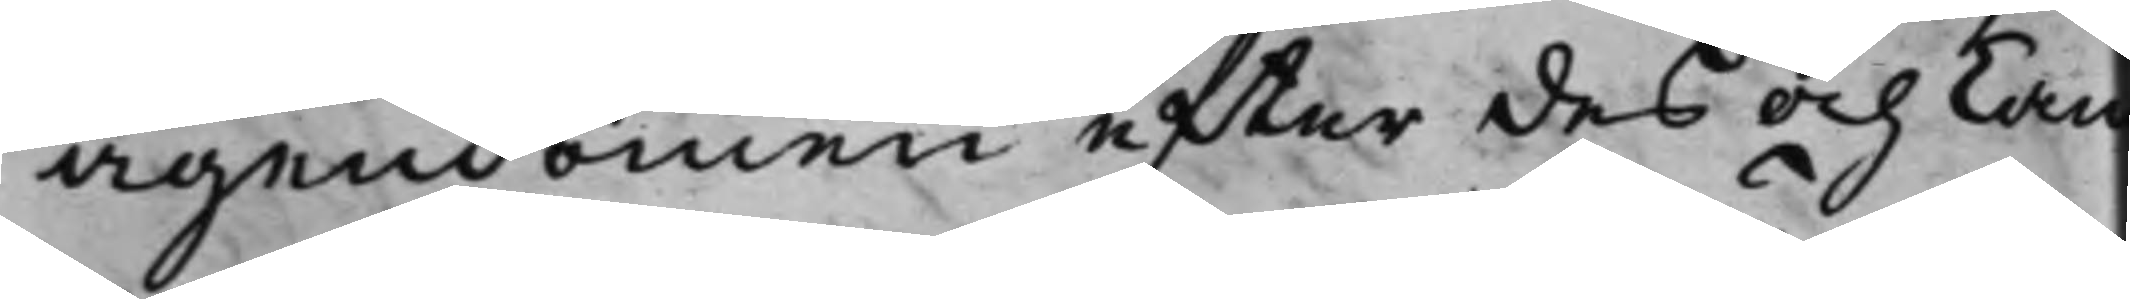ägendomen efter des och Cam¬
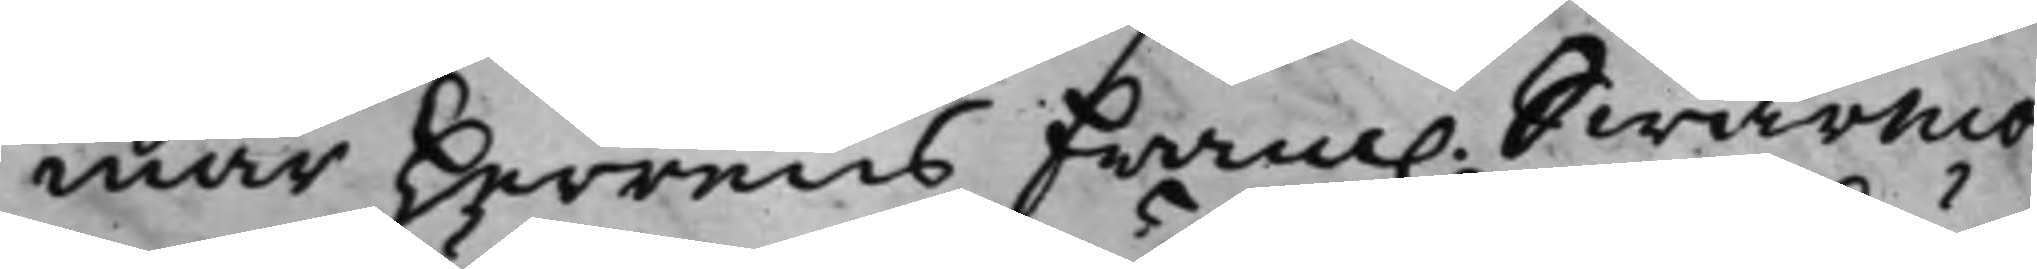mar Herrens Fram. Swärmo¬
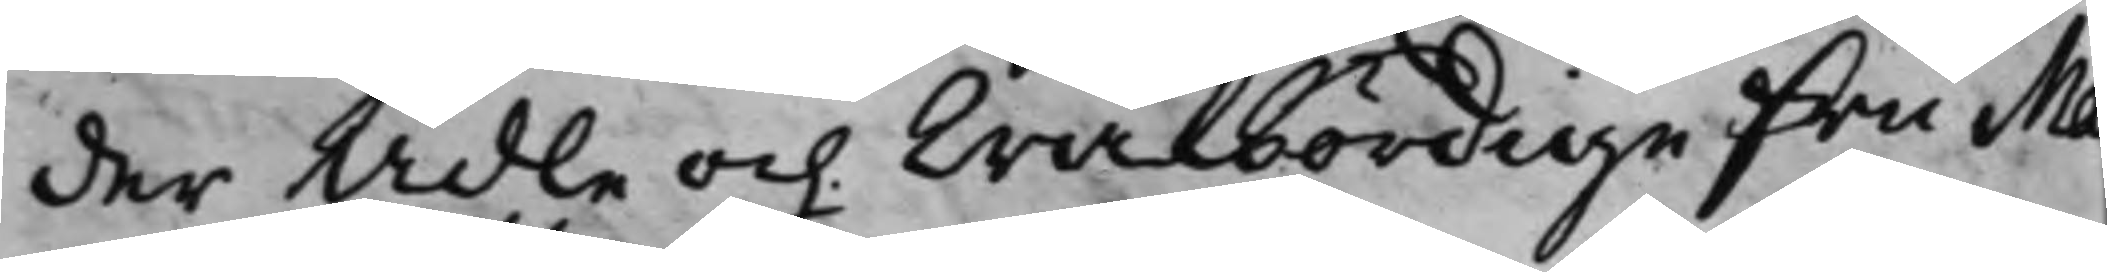derr Ädle och Wälbördige Fru Ma¬
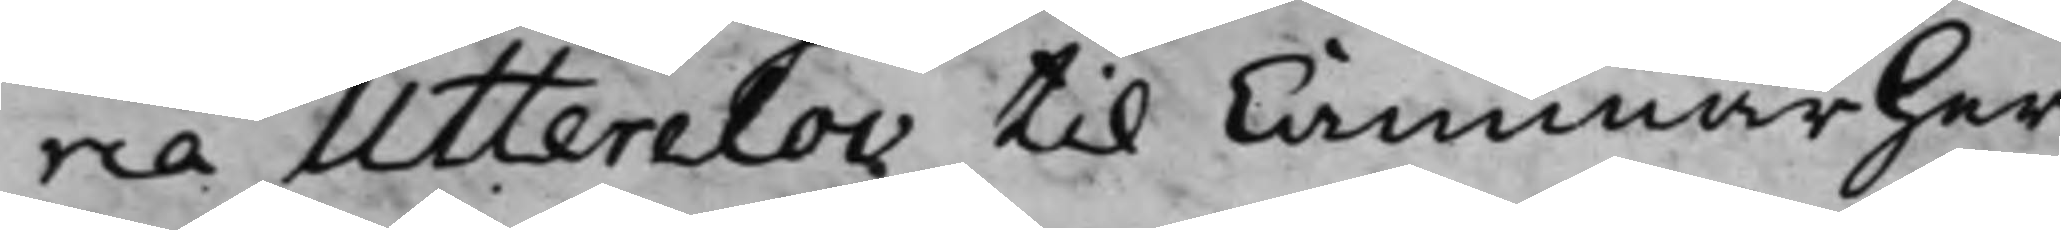ria Utterclou til CammarHer¬
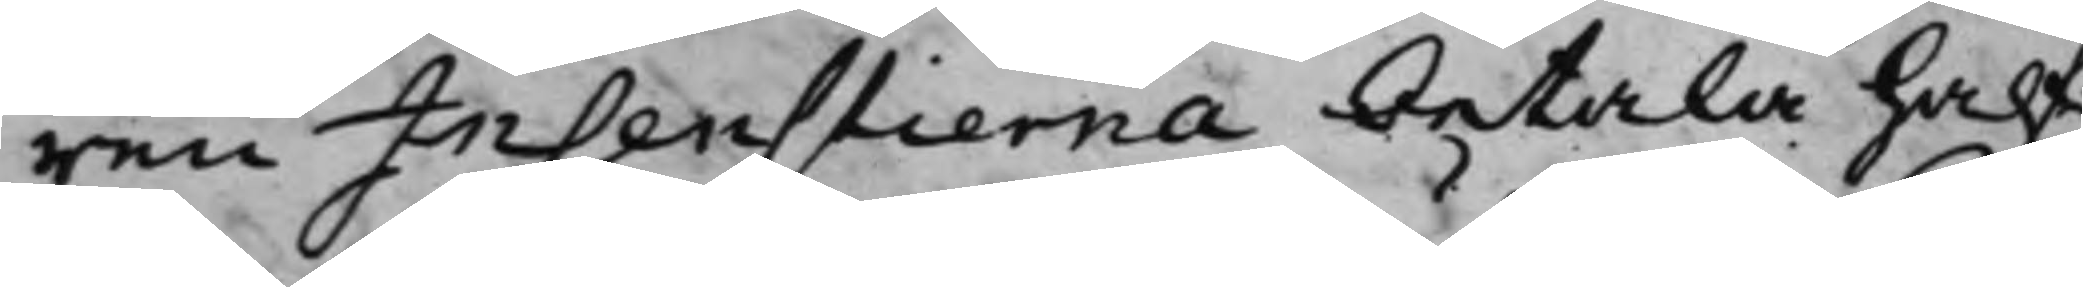ren Insenstierna betala half¬
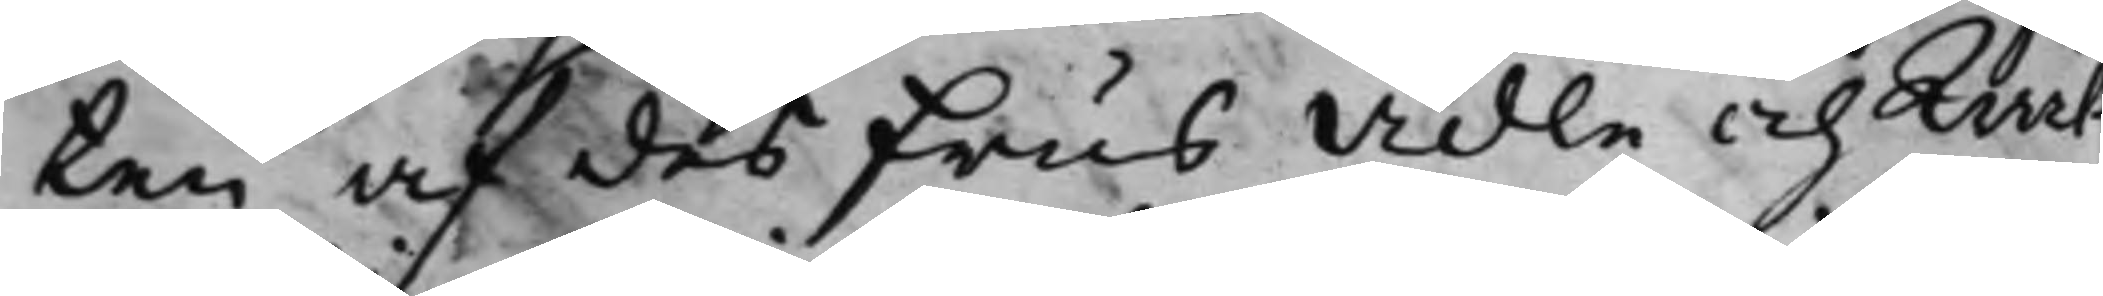ten af des Frus Ädle och Wäl¬
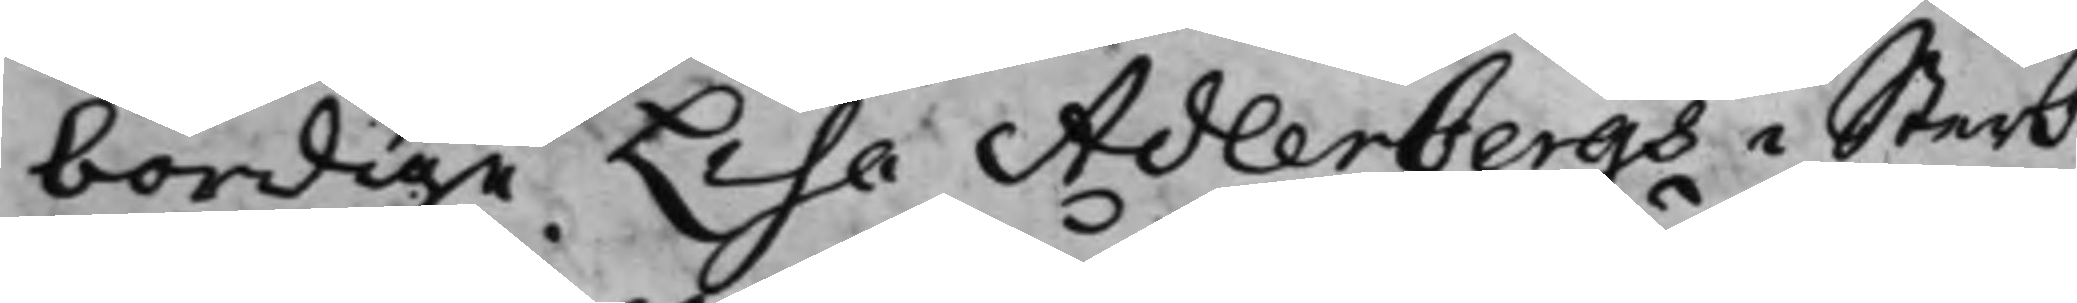bördige Lisa Adlerbergs i Sterb¬
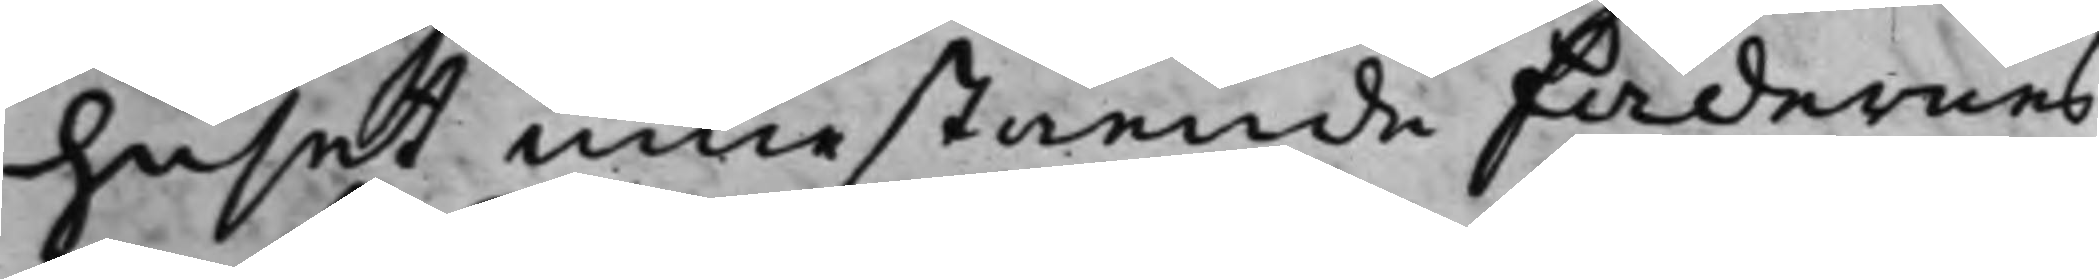huset innestående Fädernes
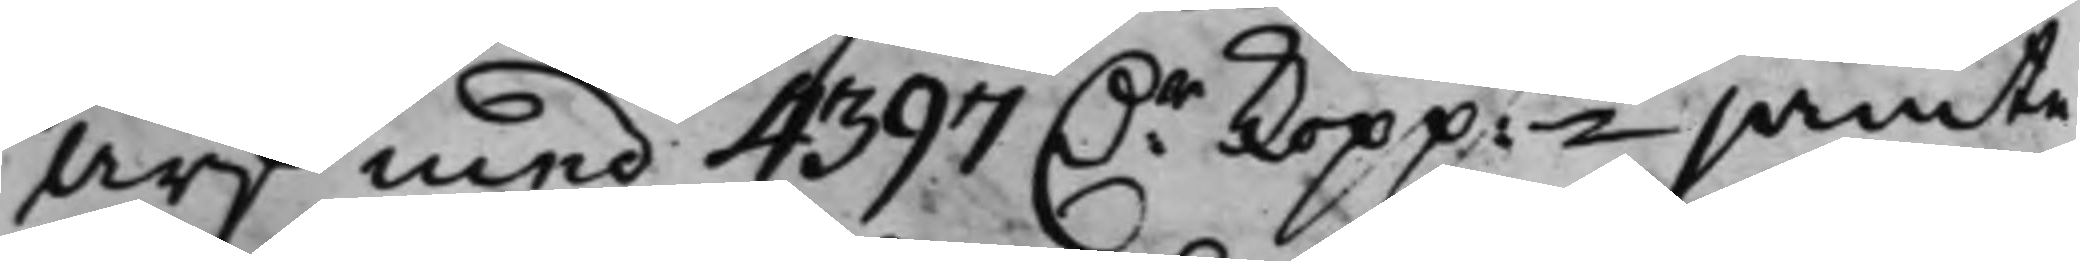Arf med 4397 D.r kopp:mt jämte
